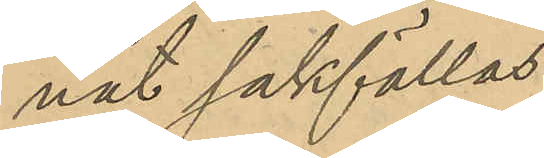nat sakfällas;
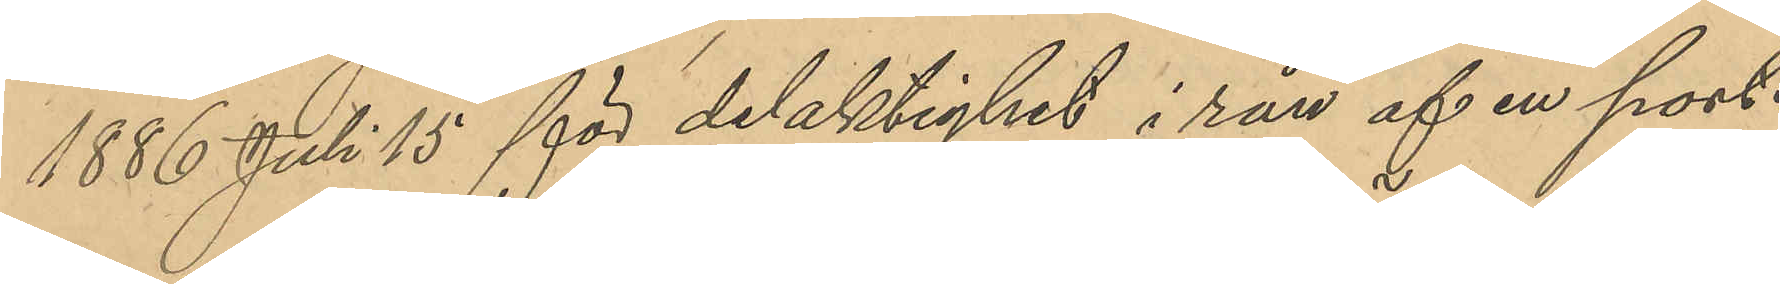1886 Juli 15 för delaktighet i rån af en port¬
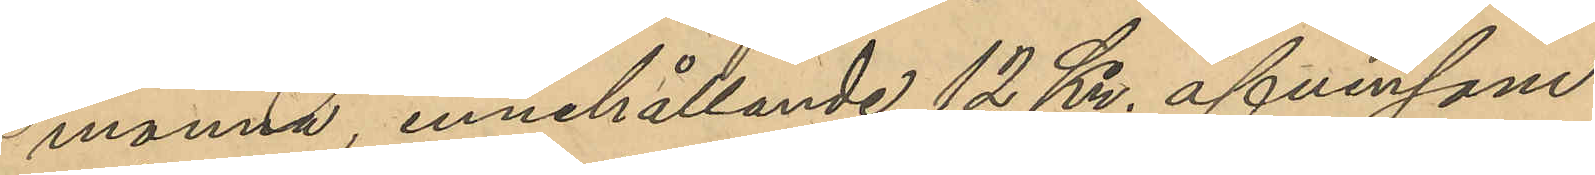monnä, innehållande 12 Kr. äfvensom
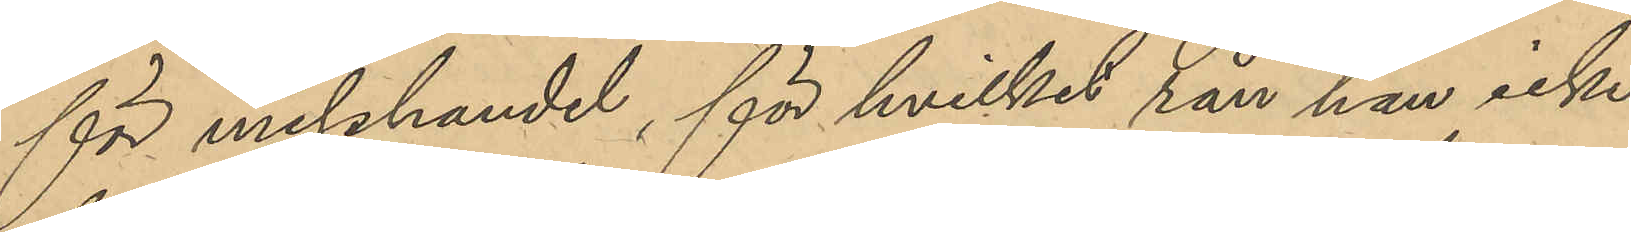för misshandel, för hvilket rån han icke
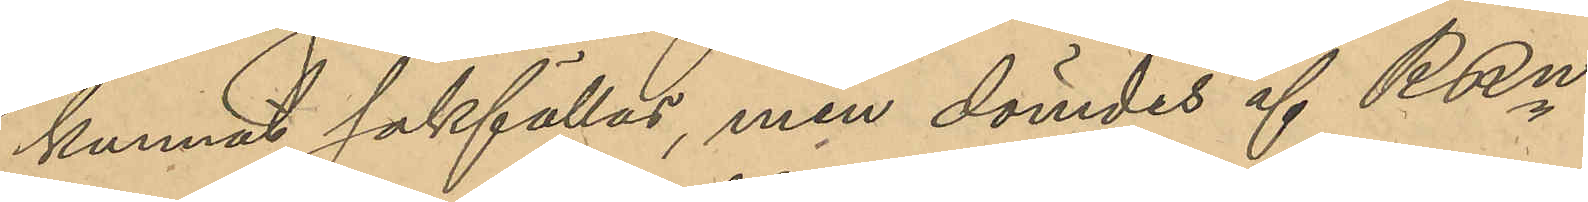kunnat sakfällas, men dömdes af RRn
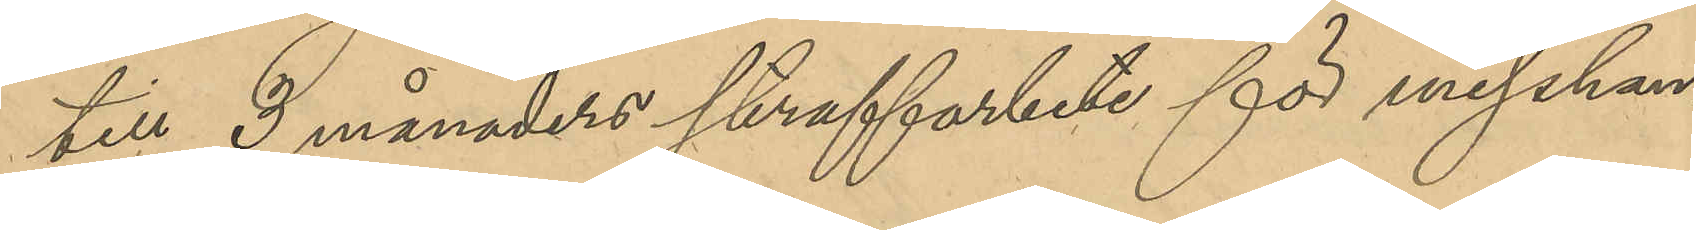till 3 månaders straffarbete för misshan¬
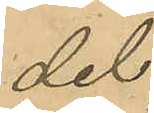del;
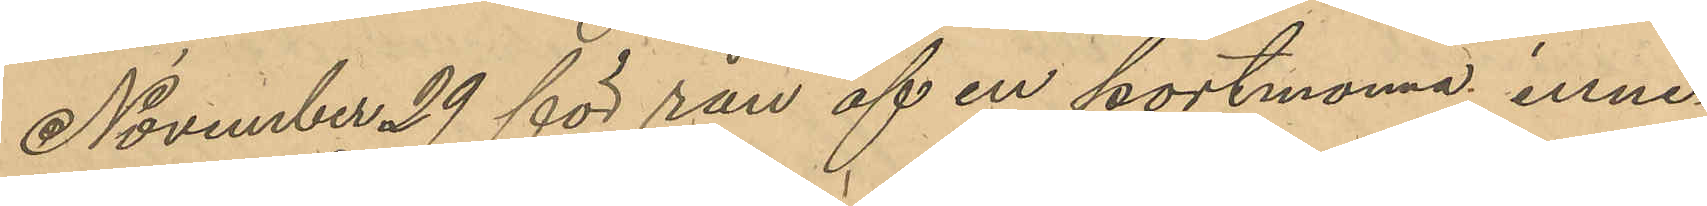November 29 för rån af en portmonnä, inne¬
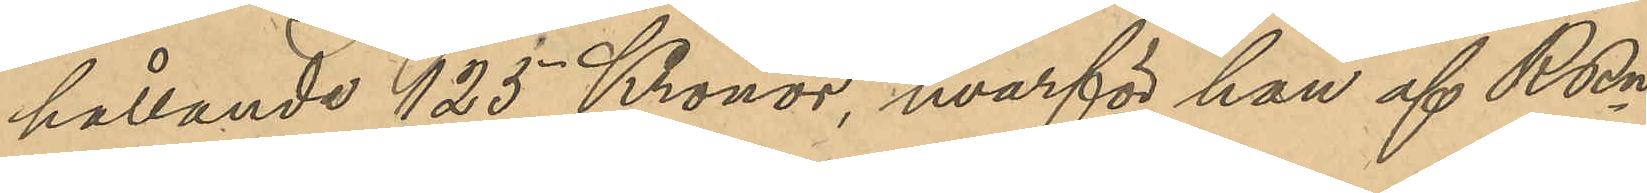hållande 125 Kronor, hvarför han af RRn 
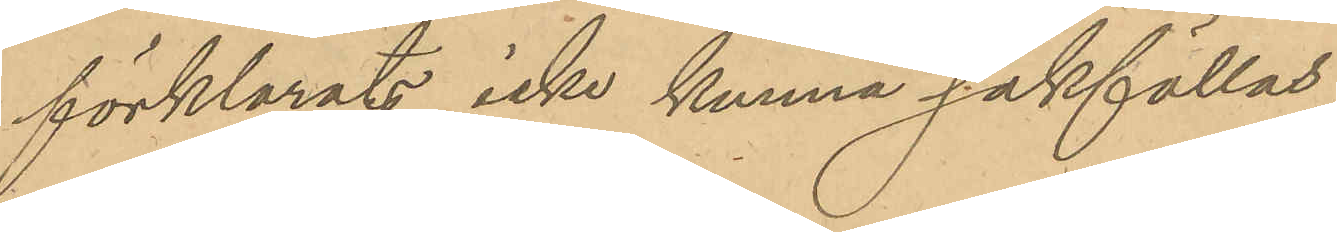förklarats icke kunna sakfällas;
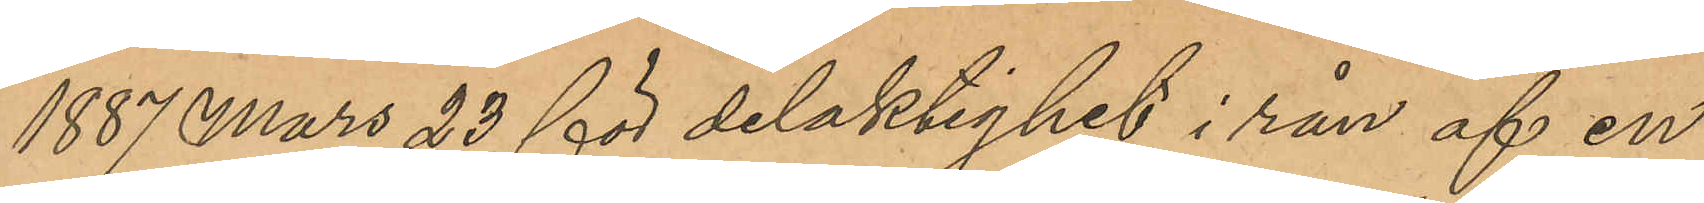1887 Mars 23 för delaktighet i rån af en
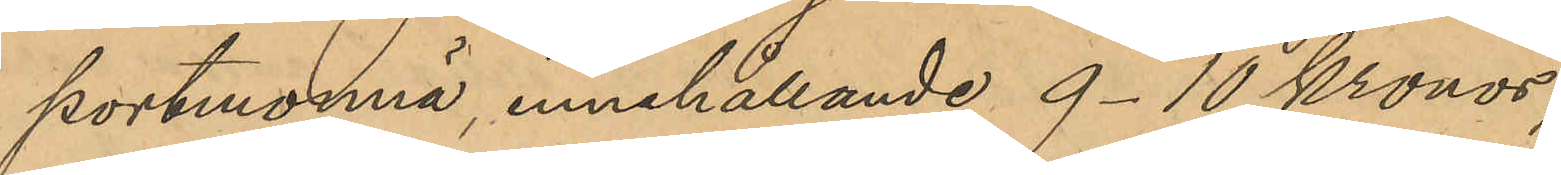portmonnä, innehållande 9-10 Kronor;
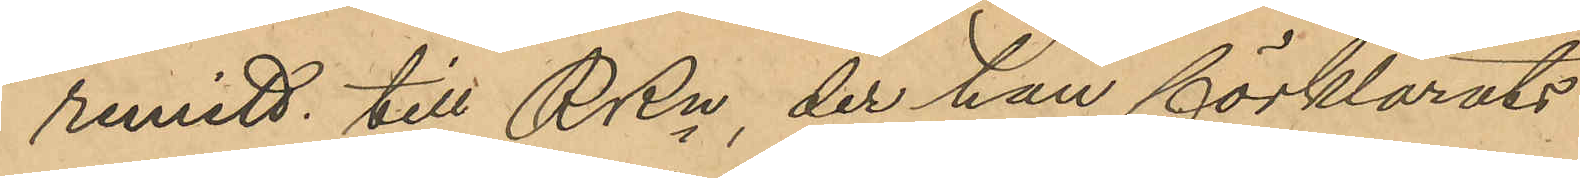remitt. till RRn, der han förklarats
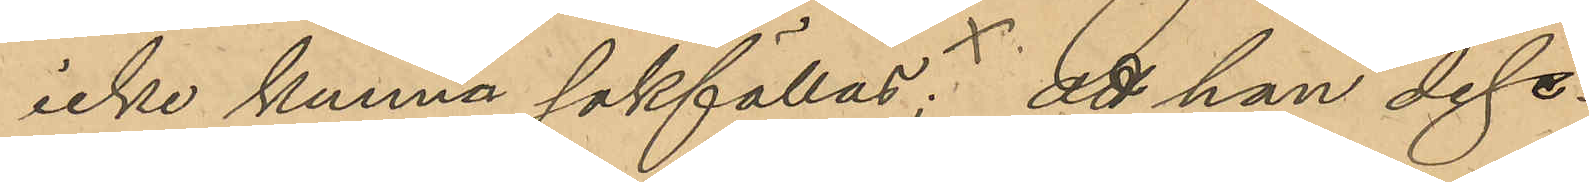icke kunna sakställas; att han dess¬
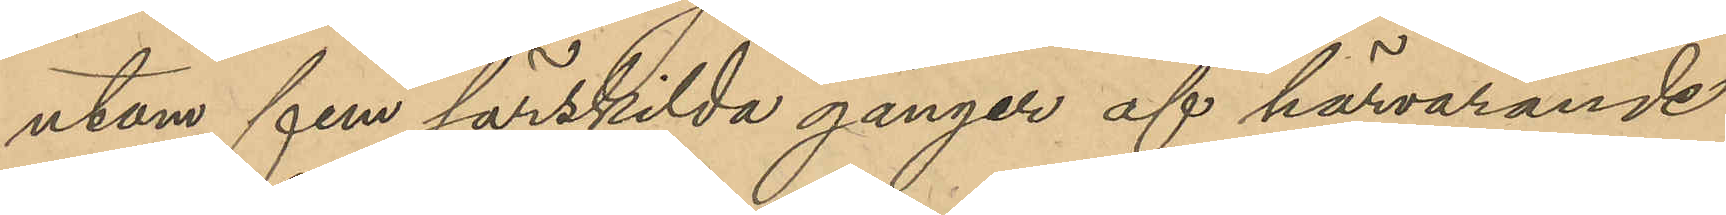utom fem särskilda gånger af härvarande
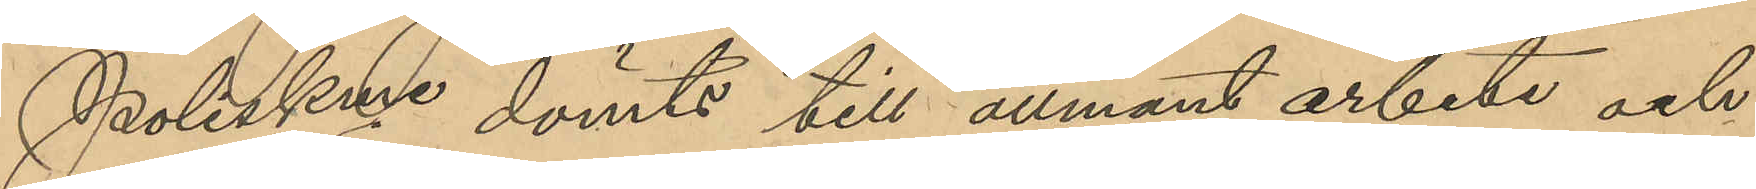Poliskme dömts till allmänt arbete och
